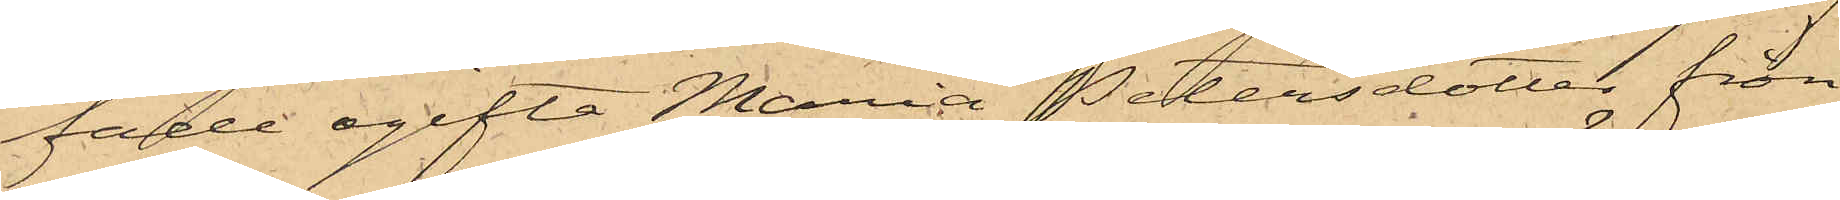fade ogifta Maria Petersdotter från
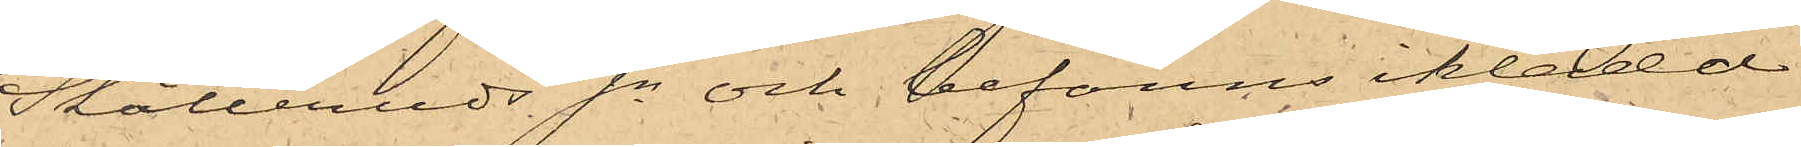Skålleruds Sn och befanns iklädd
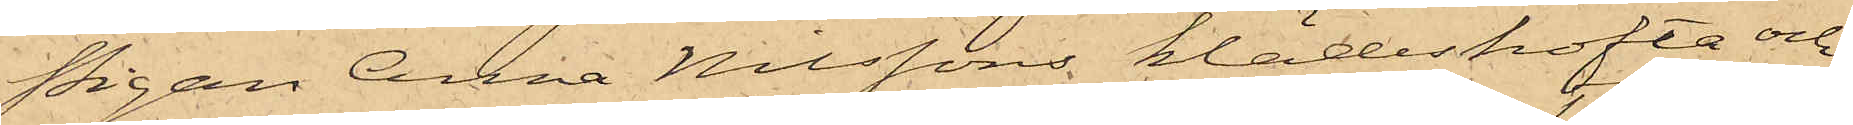Pigan Anna Nilssons klädeskofta och
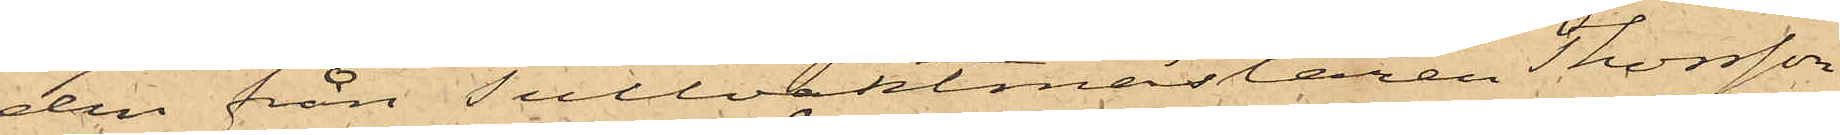den från Tullvaktmästaren Thorsson
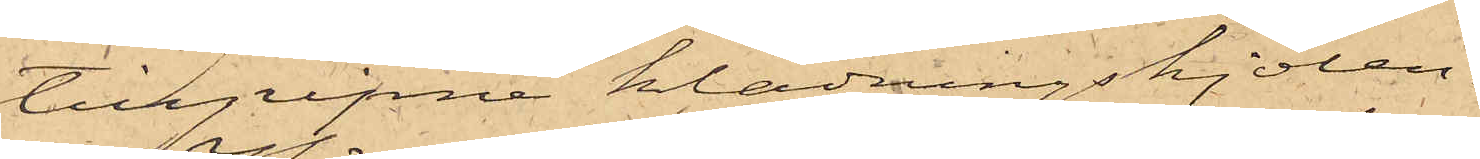tillgripne klädningskjolen.
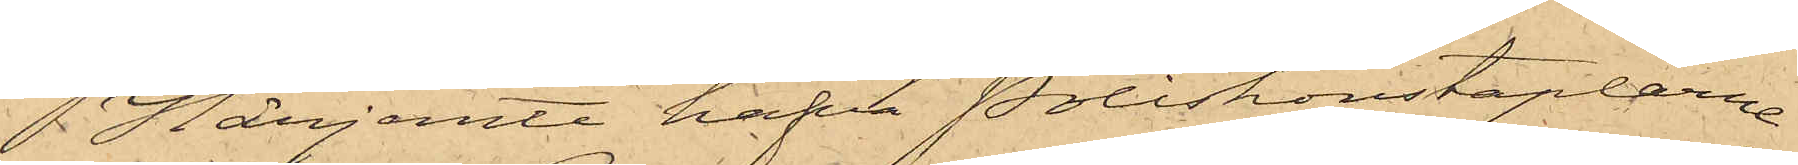Härjemte hafva Poliskonstaplarna
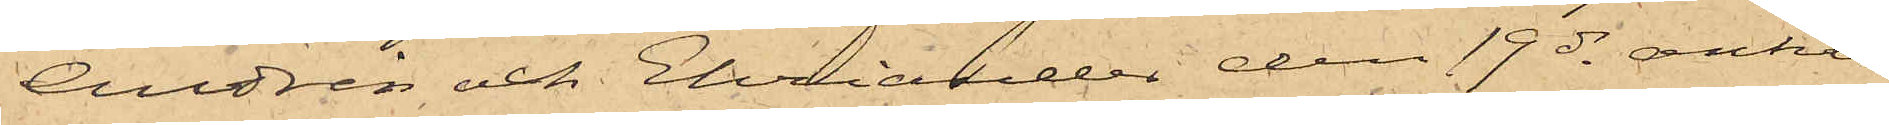Andrén och Ehriander den 17 ds anhål¬
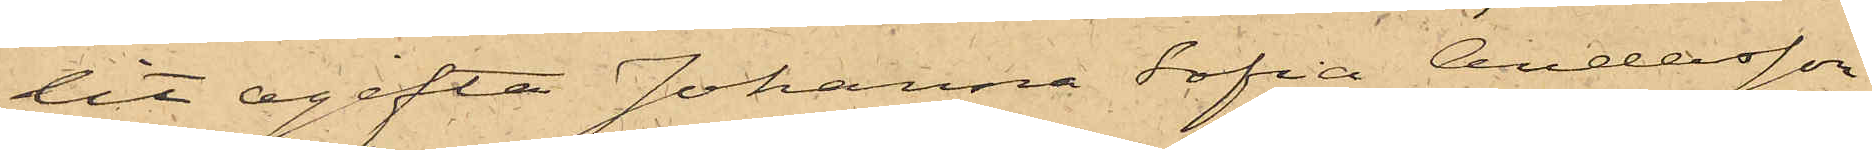lit ogifta Johanna Sofia Andersson
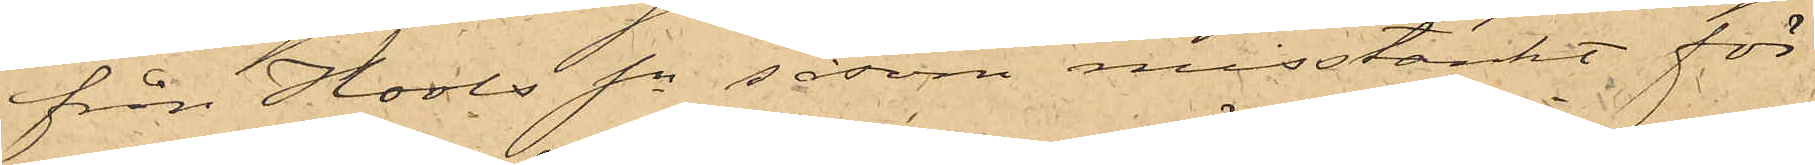från Hools Sn såsom misstänkt för
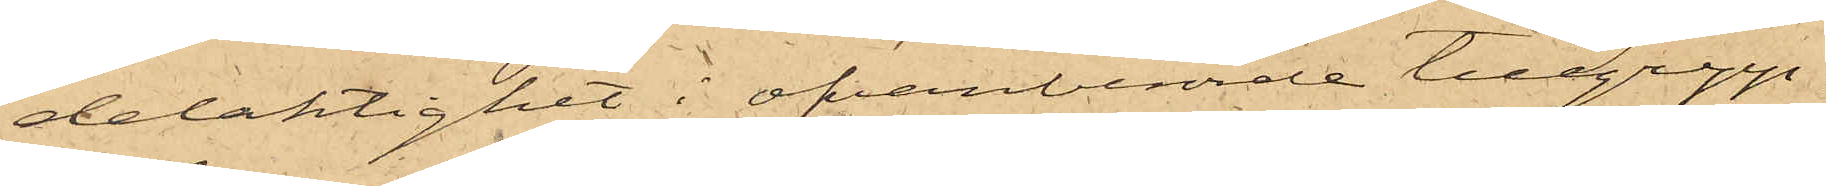delaktighet i ofvanberörde tillgrepp.
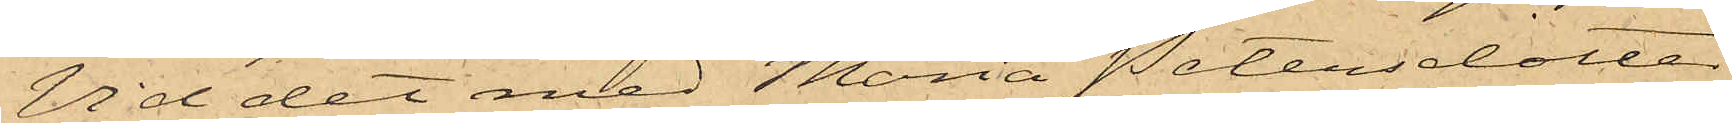Vid det med Maria Petersdotter
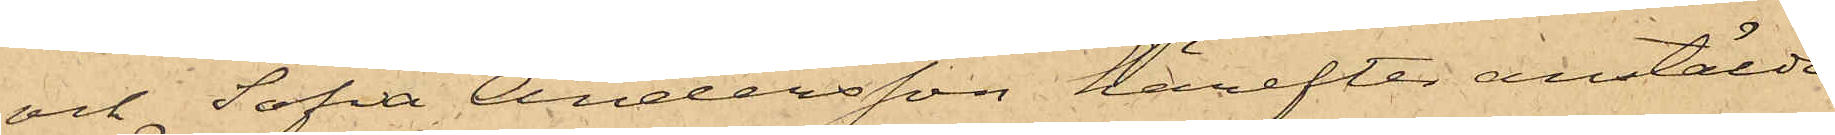och Sofia Andersson härefter anstälde
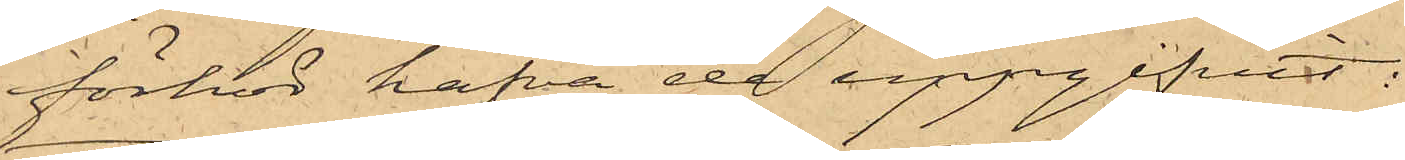förhör hafva de uppgifvit:
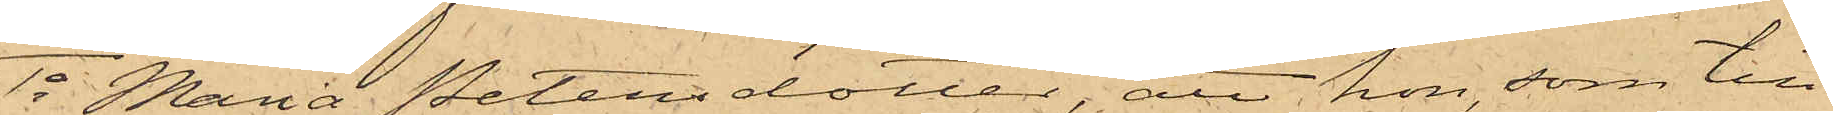1o Maria Petersdotter, att hon, som till
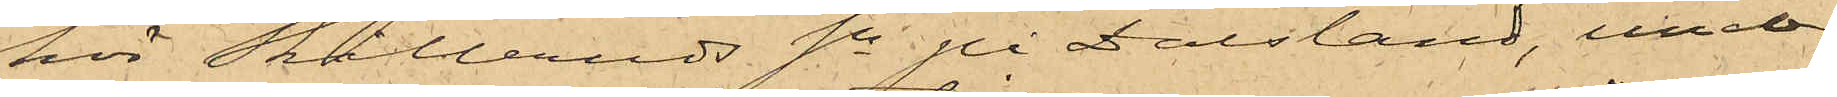hör Skålleruds Sn på Dalsland, under
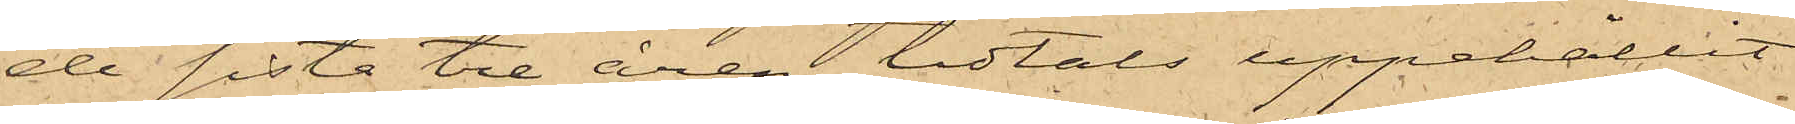de sista tre åren tidtals uppehållit
